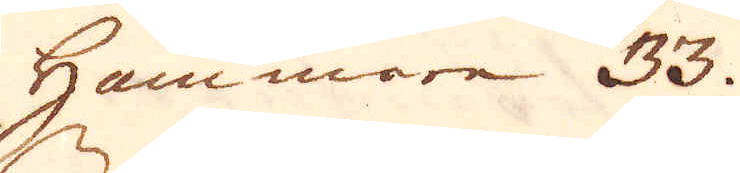Hammare 33.
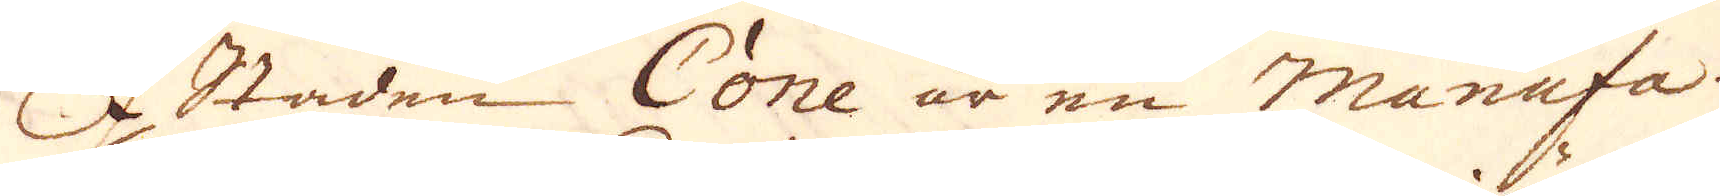I Staden Cone är en Manufa-
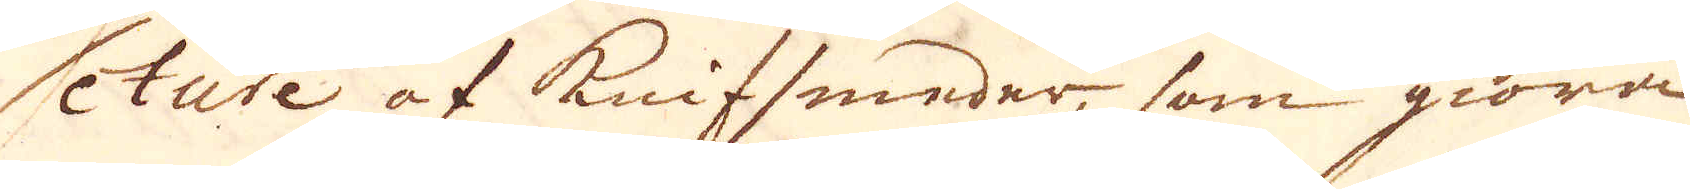cture af knifsmeder, som giöra
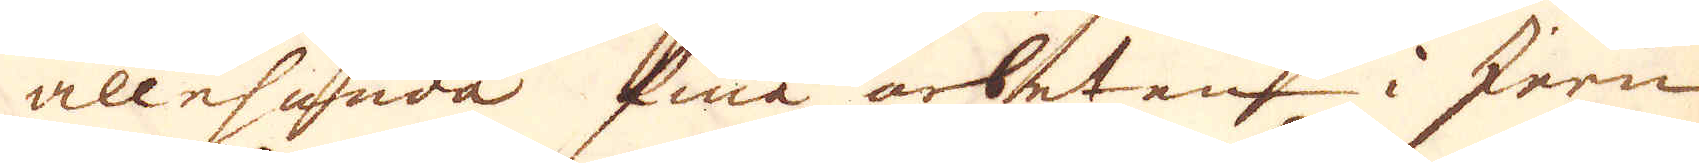allehanda fina arbeten i Jern
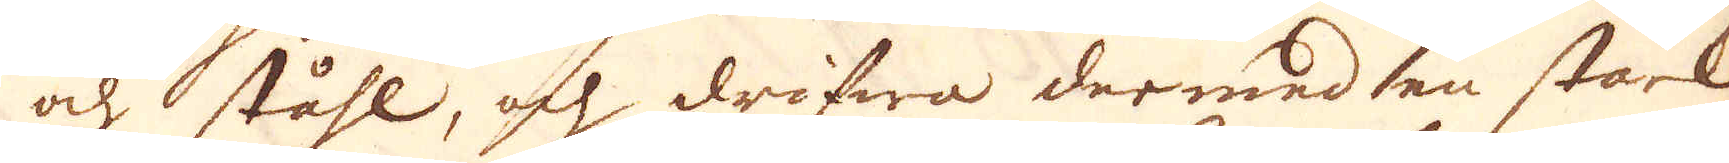och ståhl, och drifwa dermed en stark
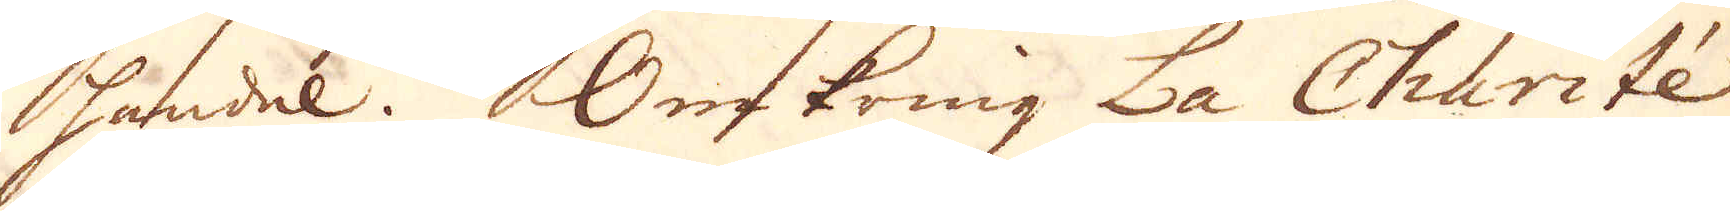handel. Omkring La Charitée
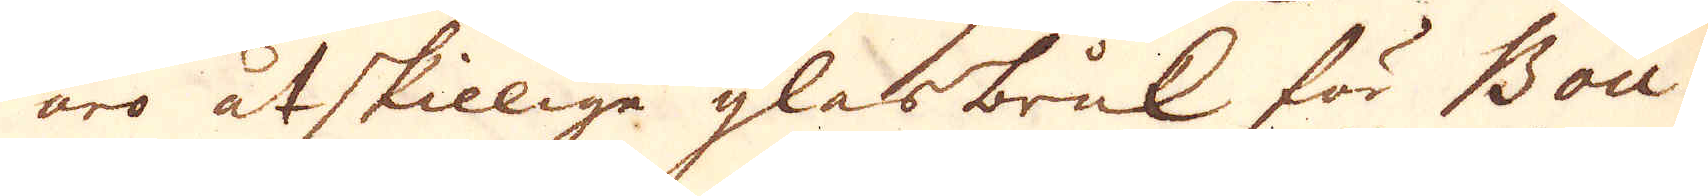äro åtskillige glasbruk, för Bou-
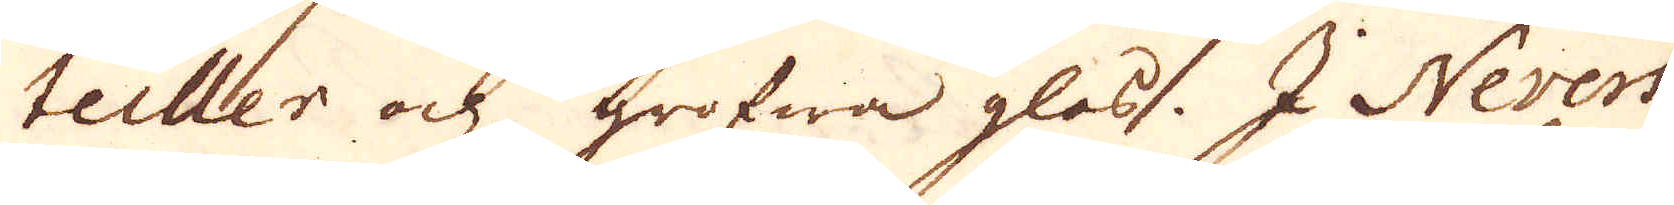teiller och grofwa glas. I Nevers
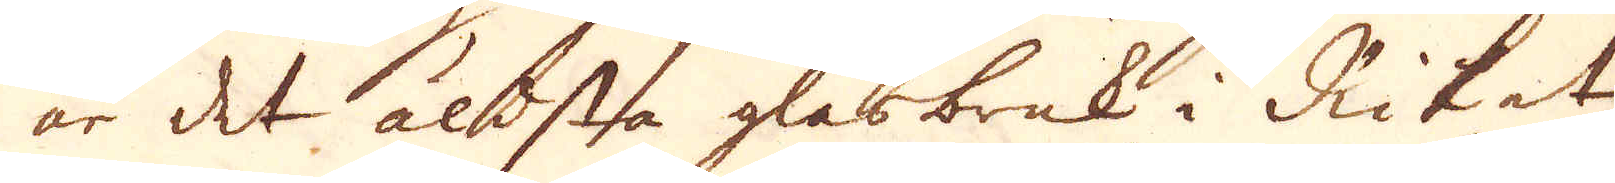är det äldsta glasbruk i Riket,
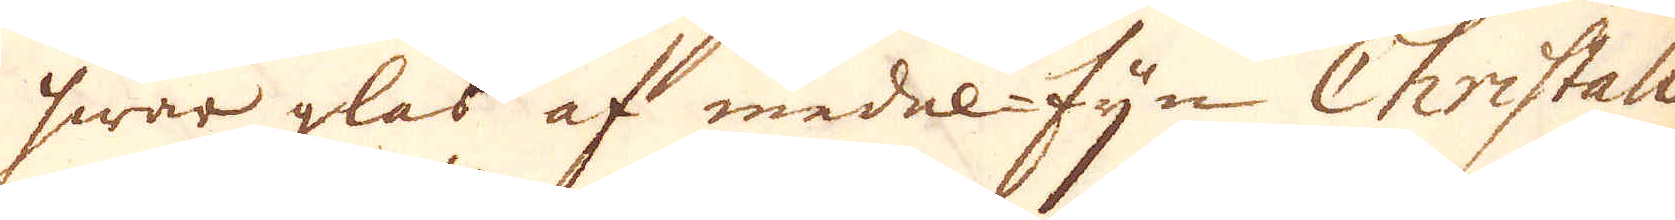hwar glas af medel-fijn Christall
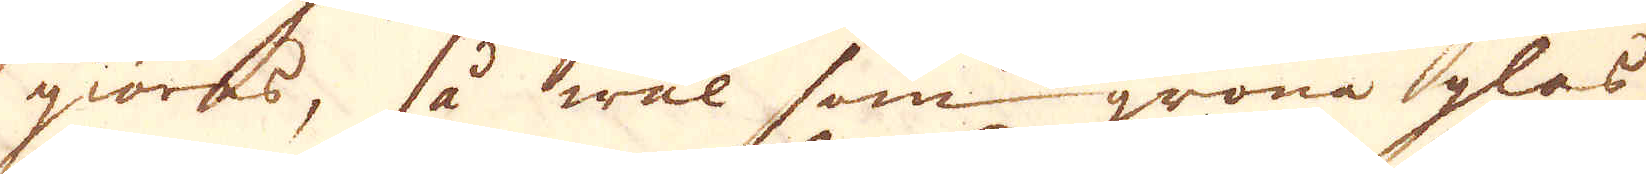giöras, så wäl som gröna glas
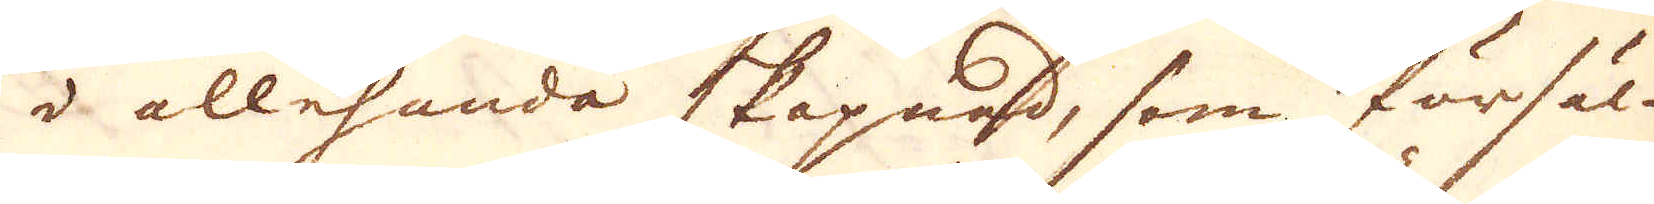i allehanda skepnad, som försäl-
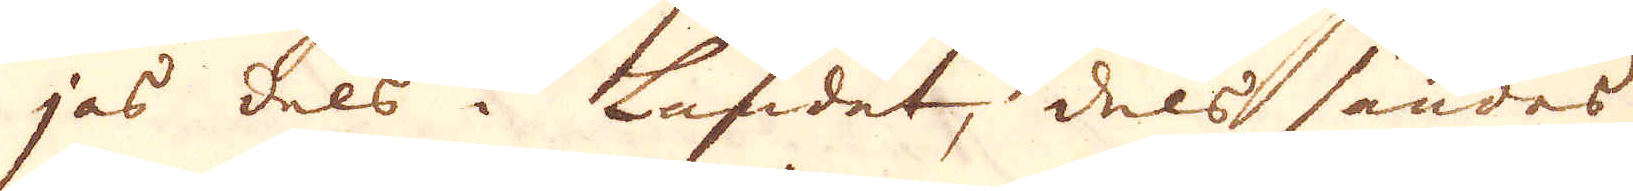jas dels i Landet, dels sändes
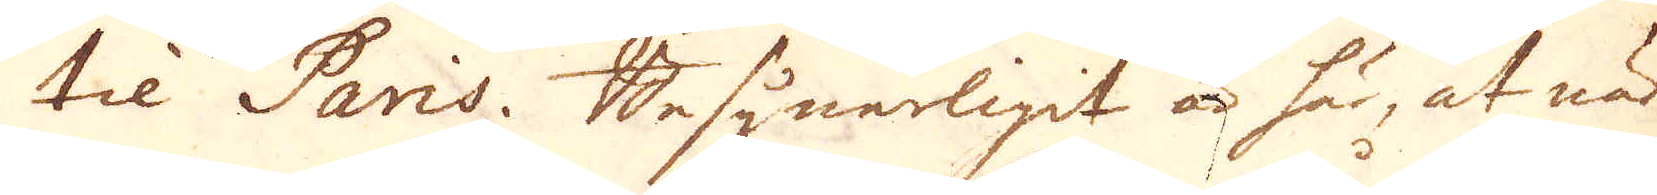til Paris. Besynerligit är här, at när
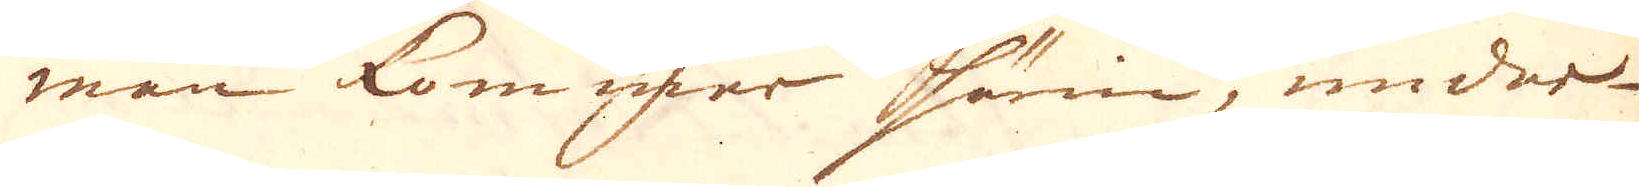man kommer härin, undar-
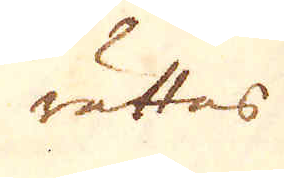rättas
